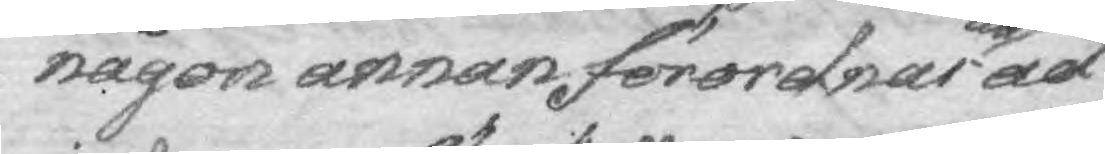någon annan förordnar att ad
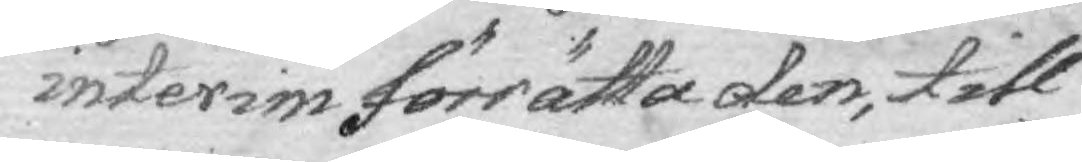interim förrätta den, till
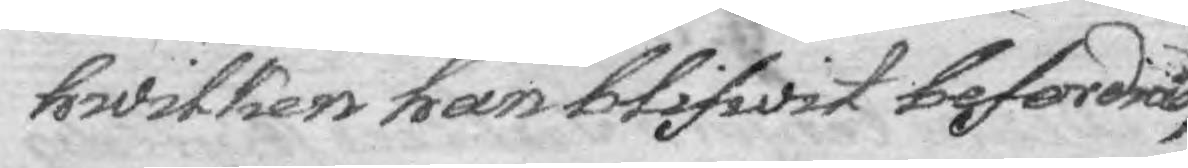hwilken han blifwit befordrad,
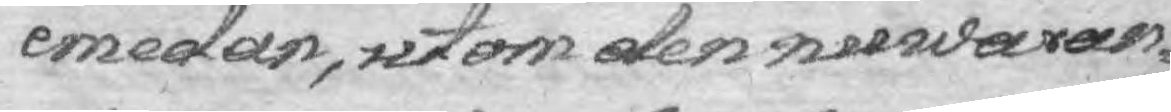emedan, utom den nuwaran¬
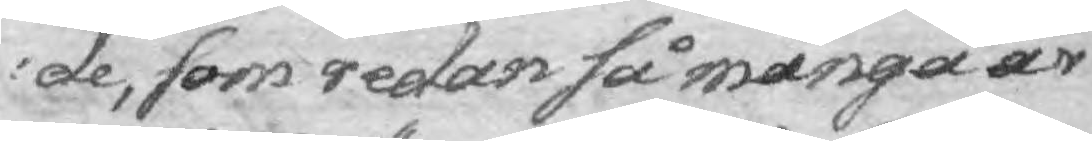de, som redan så många år
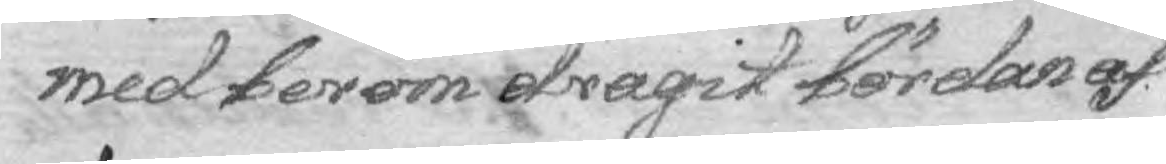med beröm dragit bördan af
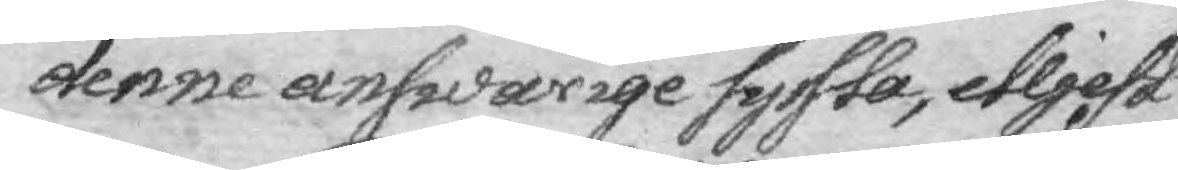denne answarige syssla, elljest
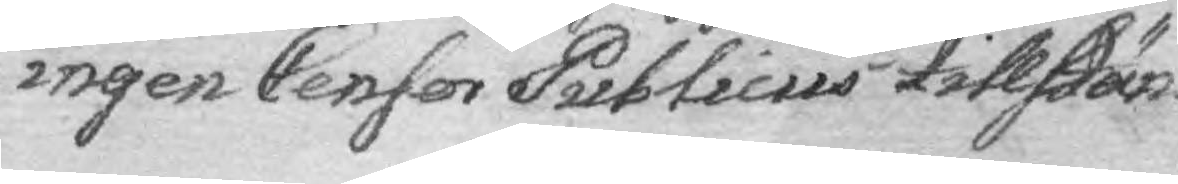ingen Censor Publicus tillstän¬
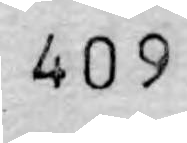409
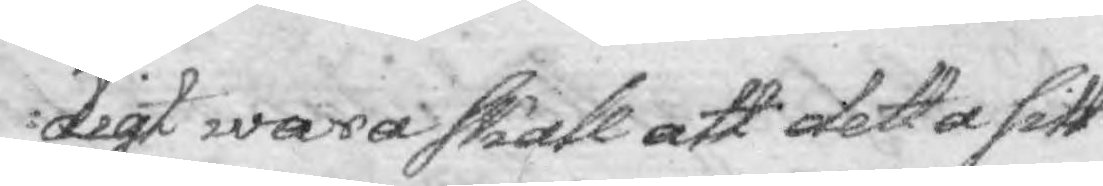digt wara skall att detta sitt
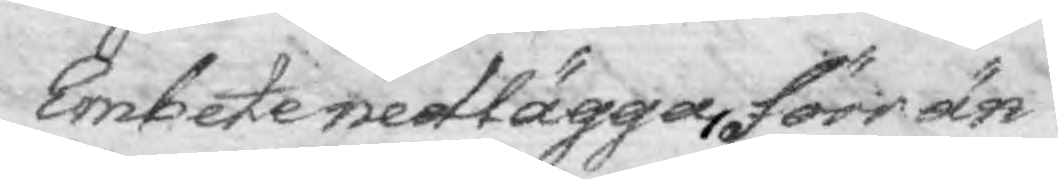Embete nedlägga, förr än
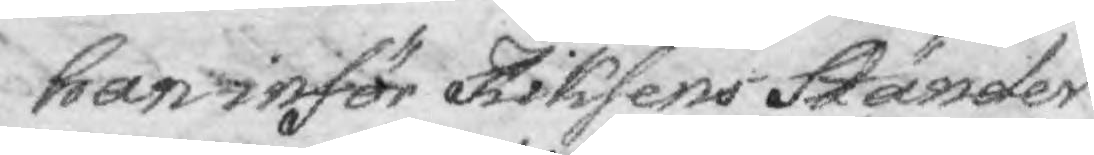han inför Riksens Ständer
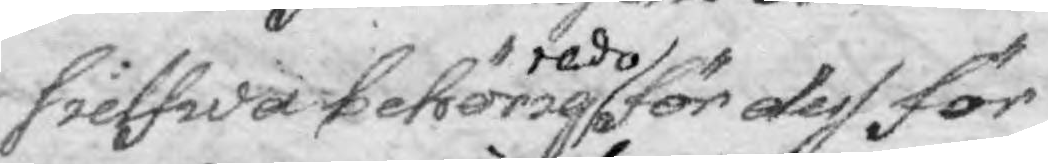sielfwa behörig redo för dess för¬
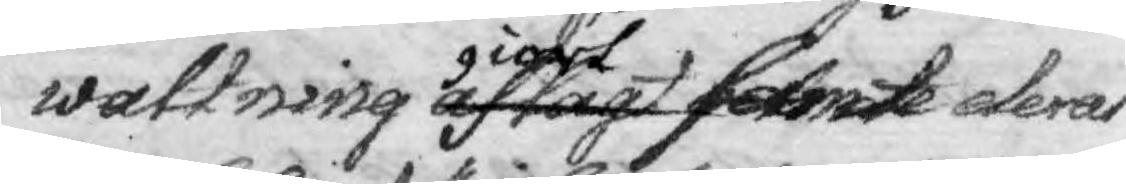waltning aflagt giort samt deras
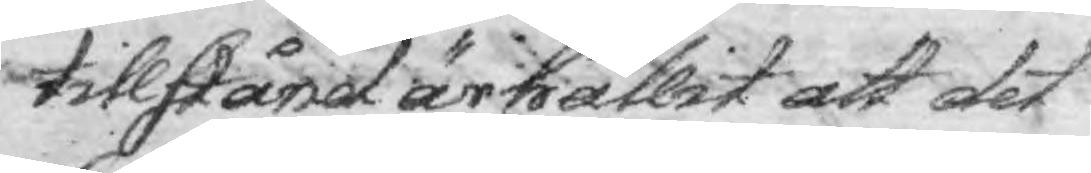tillstård är hållit att det
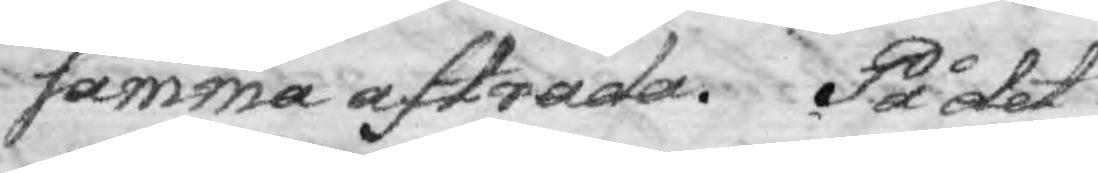samma afträda. På det
